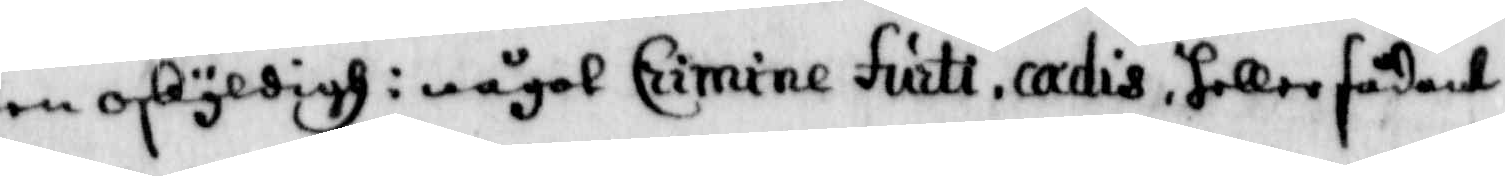en oskyldigh i något Crimine furte, cadis, heller sådant
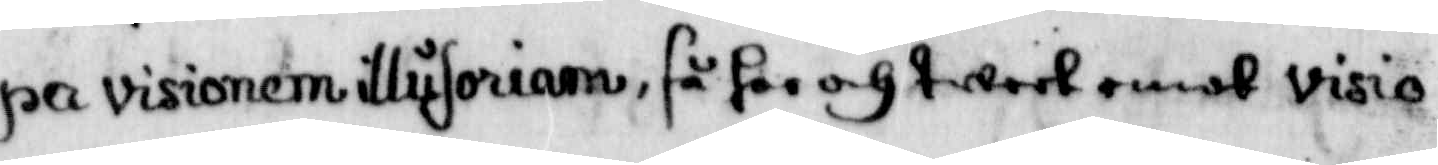pa visionem illusoriam, så har och twert emot visio¬
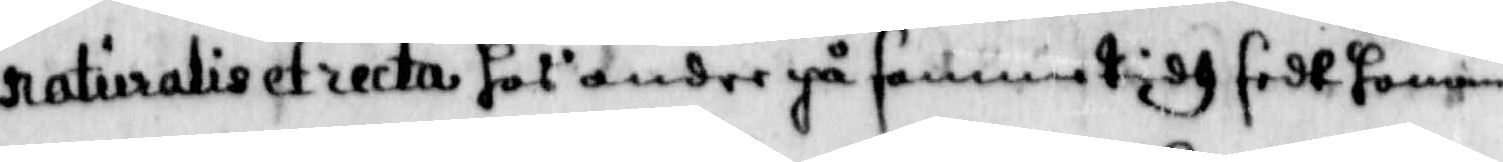naturalis et recta hos andre på samme tidh sedt honom
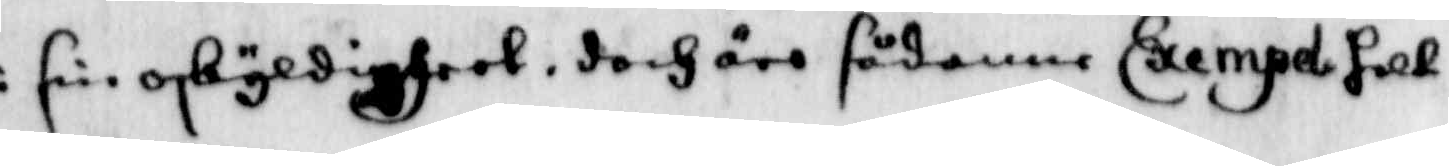i sin öskyldigheet, doch äro sådanne Exempel helt
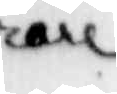rare
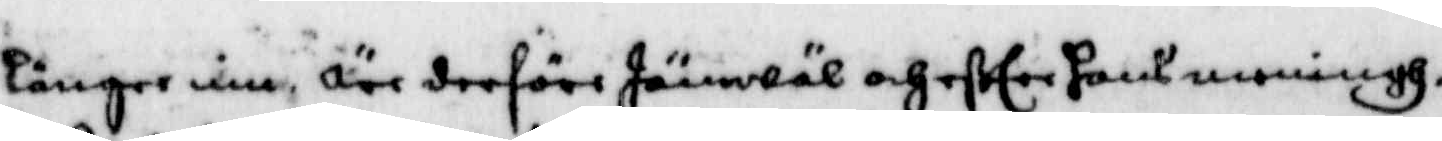längre in äre derföre Jämwäl och efter hans mending,
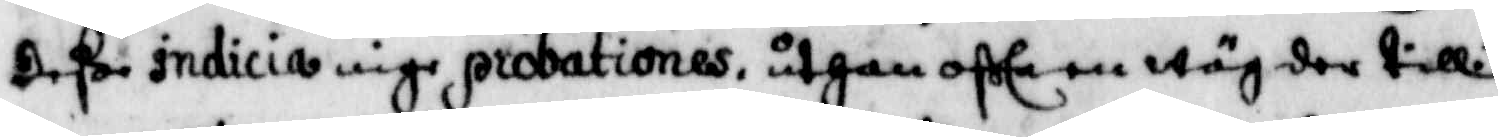deße indicia inge probationes, uthan ofta en wäg der till.
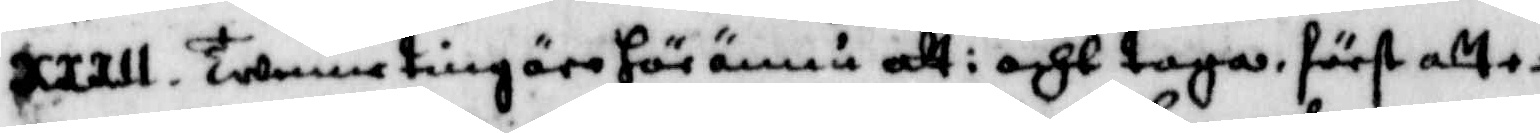XXXII. Twenne ting äro här ännu att i acht taga, först efter
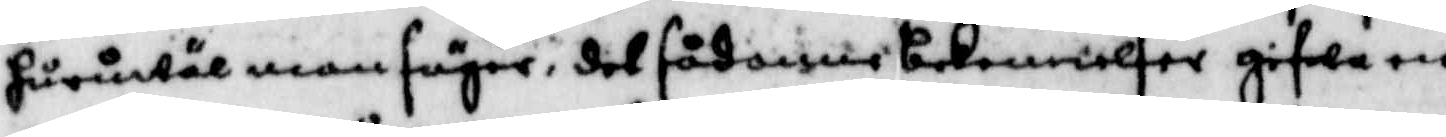hurwäl man säger, det sådanne bekennelser gifwa en
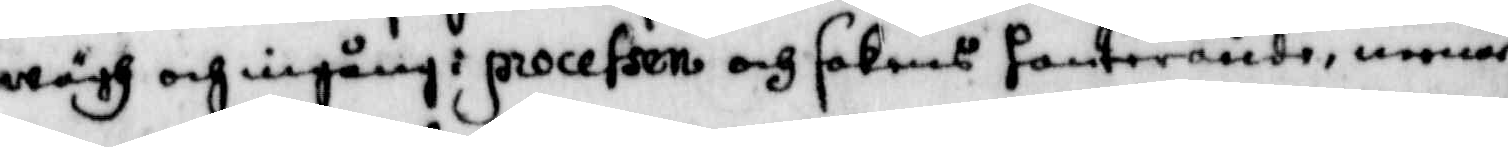wägh och ingång i processen och sakens hanterande, menar
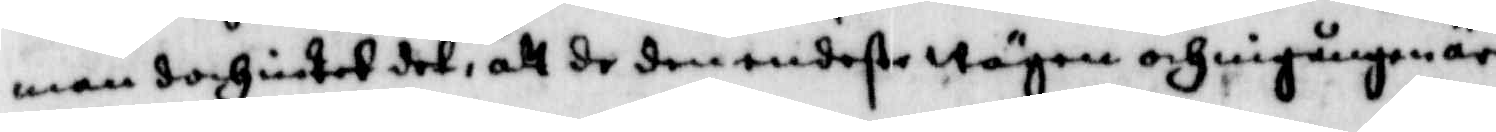man doch intet det, att de den en deße wägen och ingången äre,
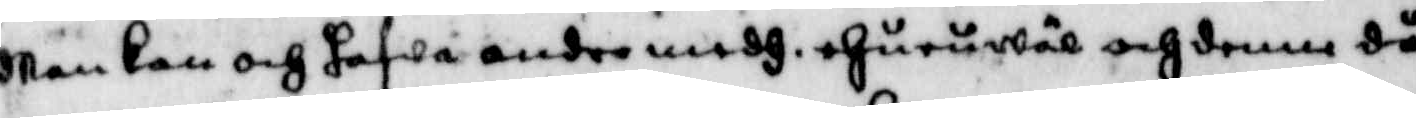Man kan och hafwa andre medh ehuruwäl och denne då
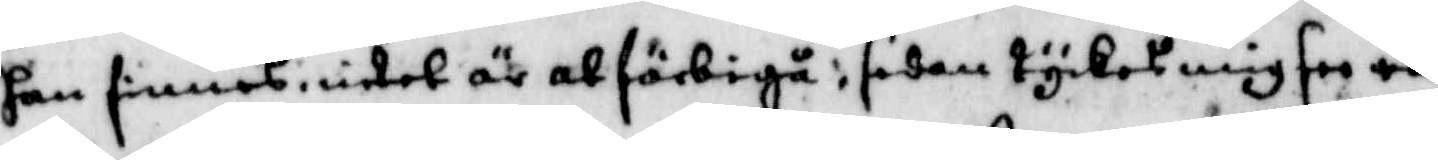kan finnas i intet är at förbigå, sedan tyckes mig see en
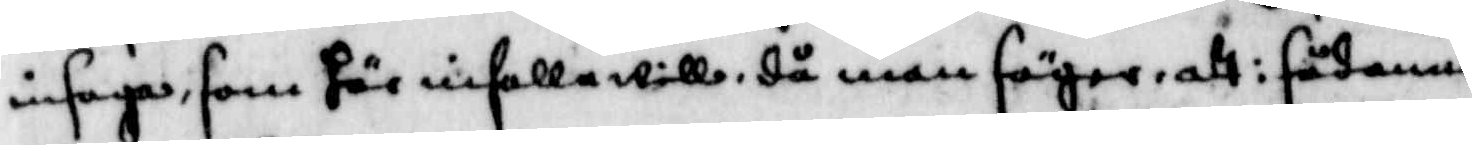insaga, som här infalla wille, då man säger att i sådanne
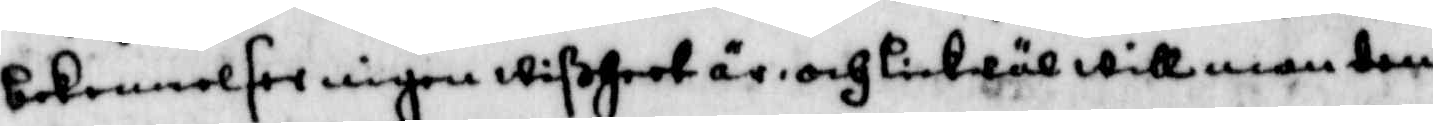bekennelser ingen wißheet är, och likwäl will man tem
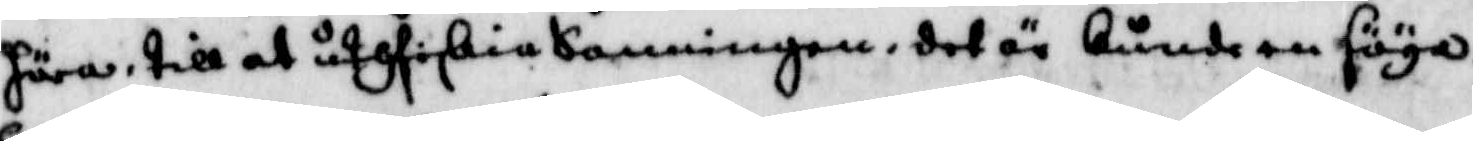höra till at utfiskia Sanningen, det är kunde en säya
